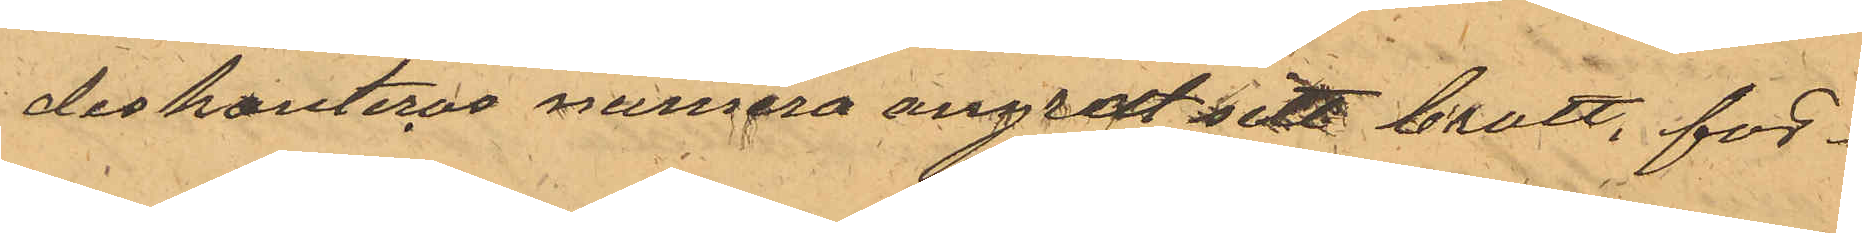diskonteras numera angrat sitt brott, för¬
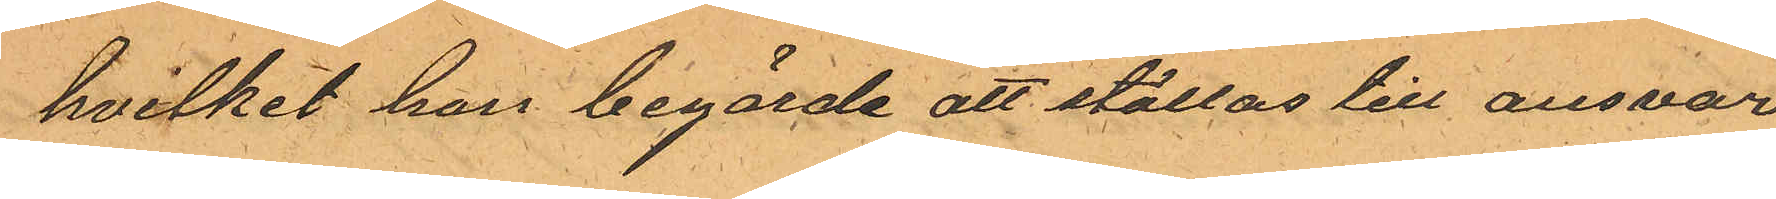hvilket han begärde att ställas till ansvar
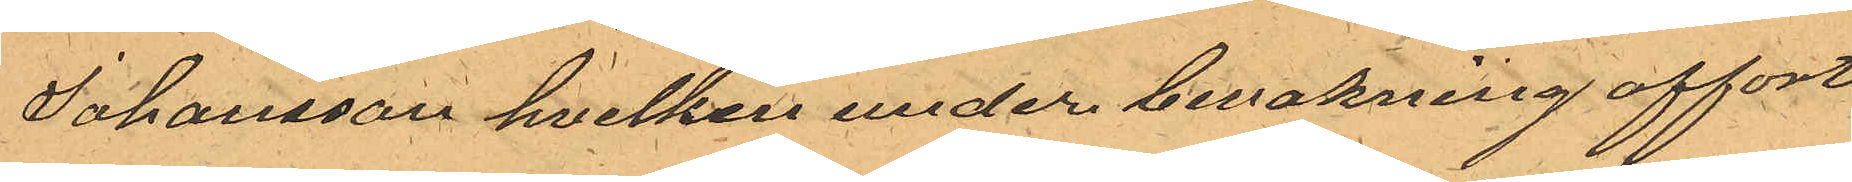Johansson hvilken under bevakning afforts
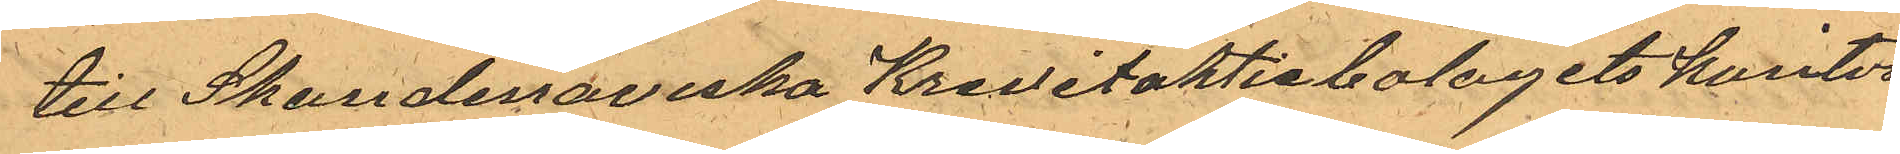till Skandinaviska Kreditaktiebolagets kontor
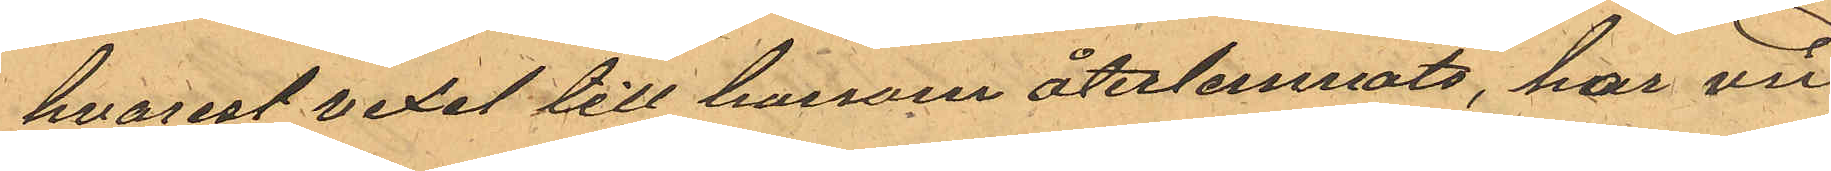hvarest vexel till honom återlemnats, har vid
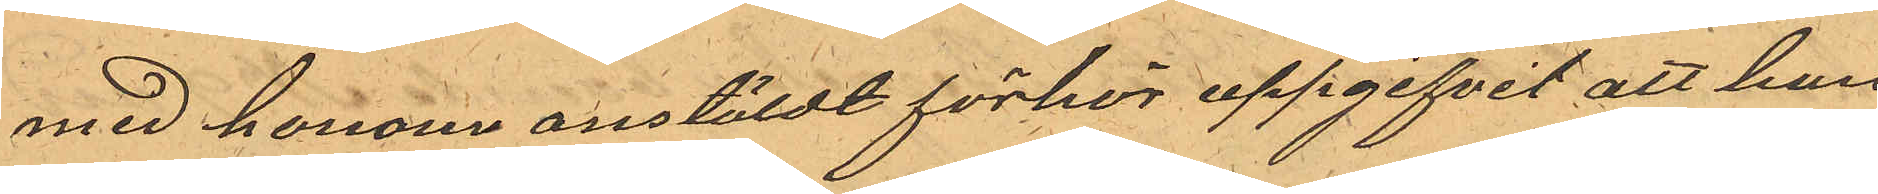med honom anstäldt förhör uppgifvit att han
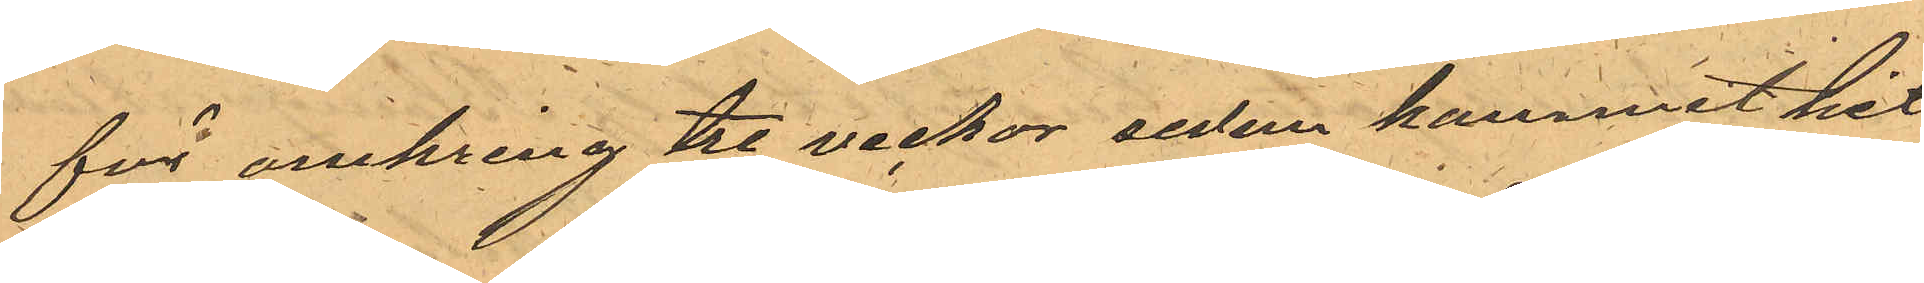för omkring tre veckor sedan kommit hit
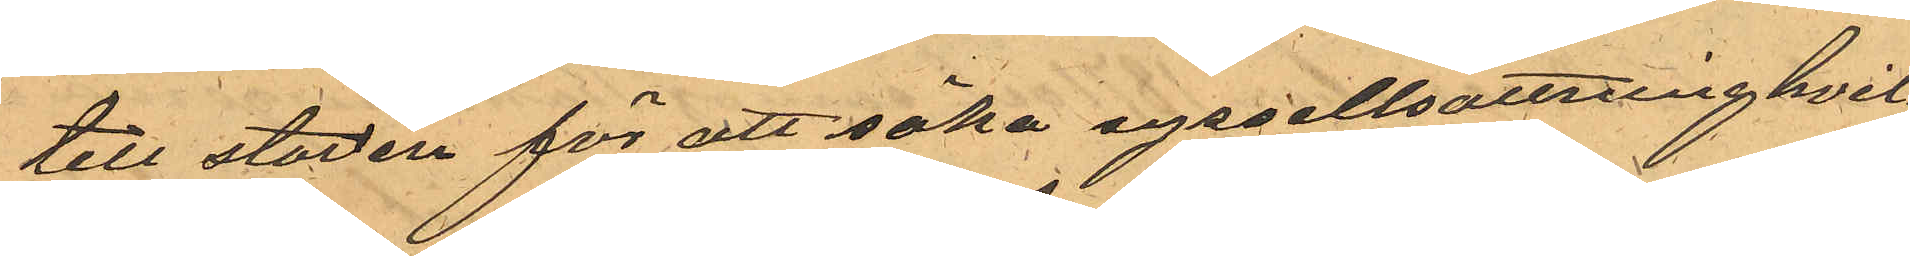till staden för att söka syssellsättning hvil¬
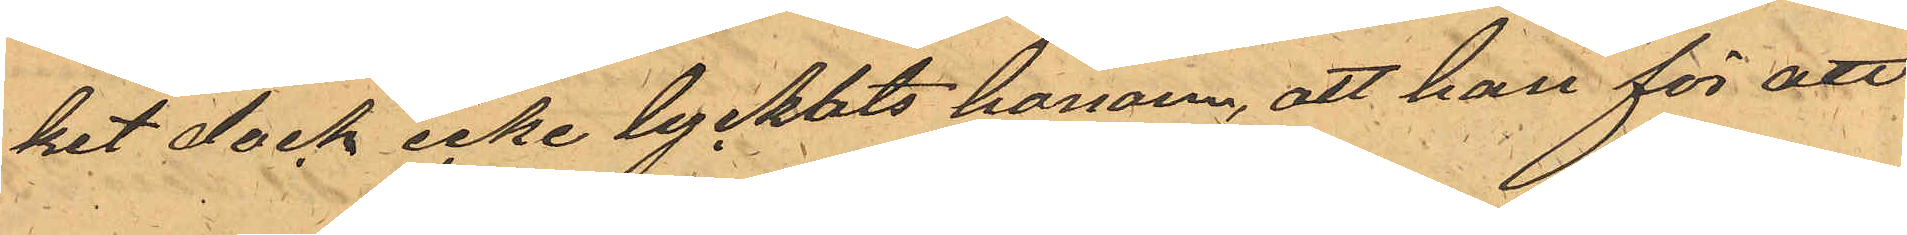ket dock icke lyckats honom, att han för att
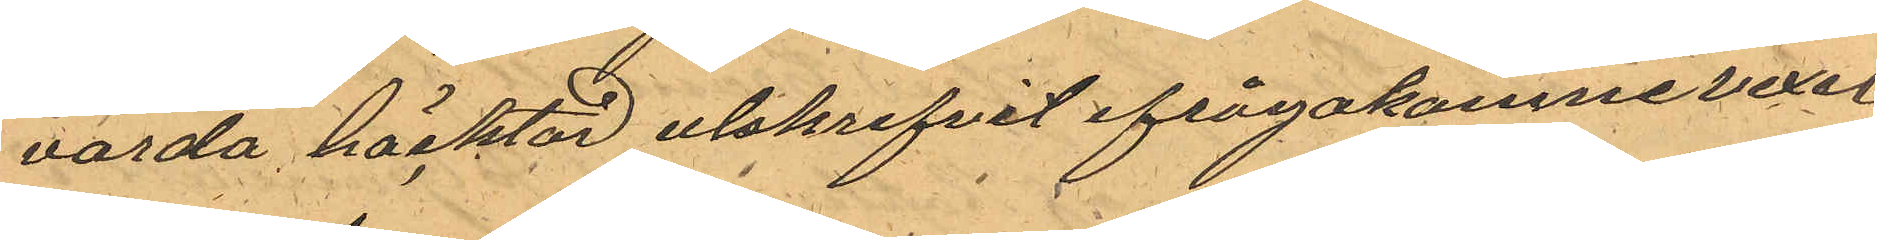varda häcktad utskrifvit ifrågakomne vexel
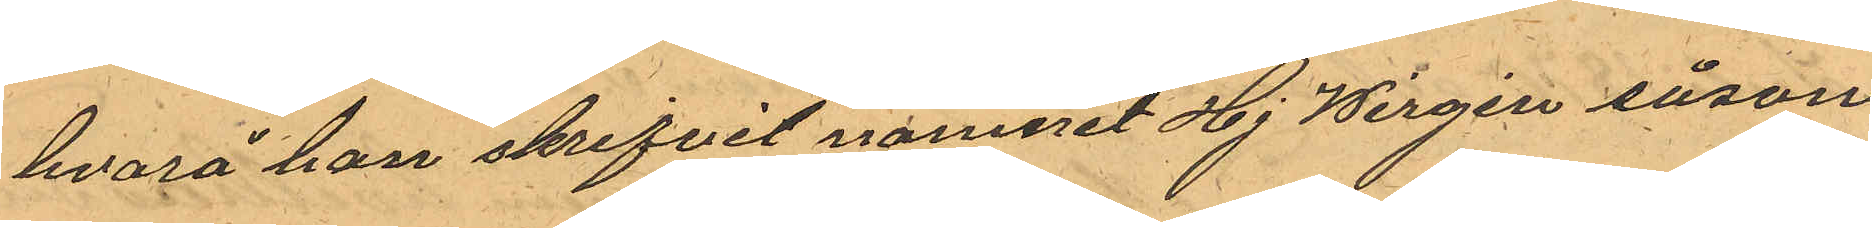hvarå han skrifvit namnet Hj Wirgin såsom
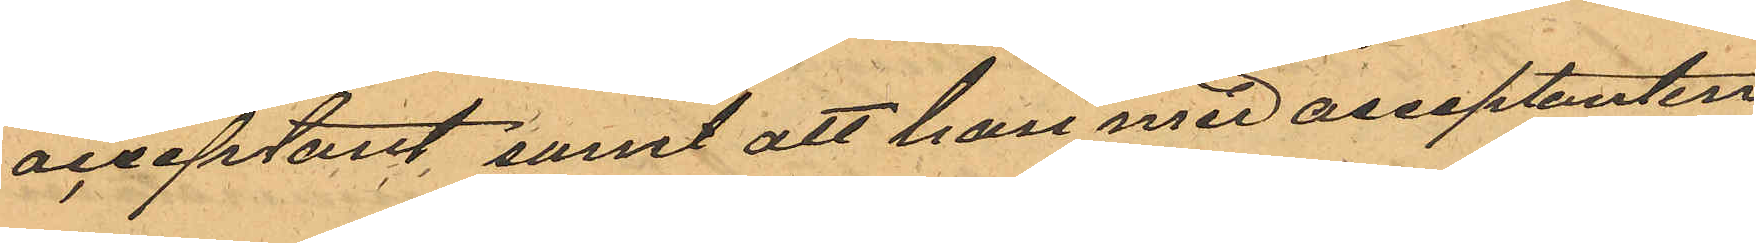acceptant samt att han med acceptanten
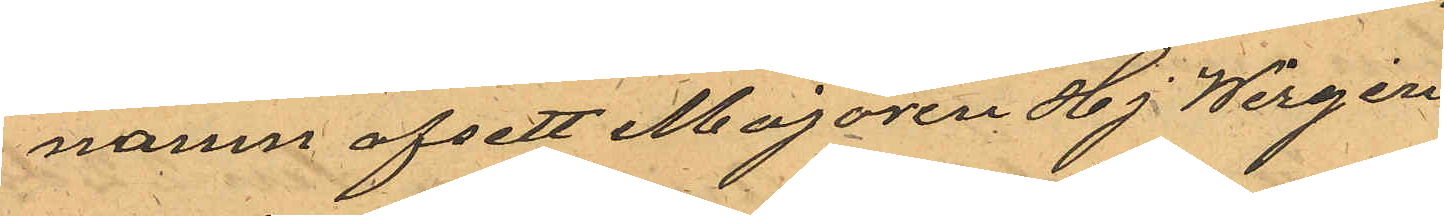namn afsett Majoren Hj Wirgin
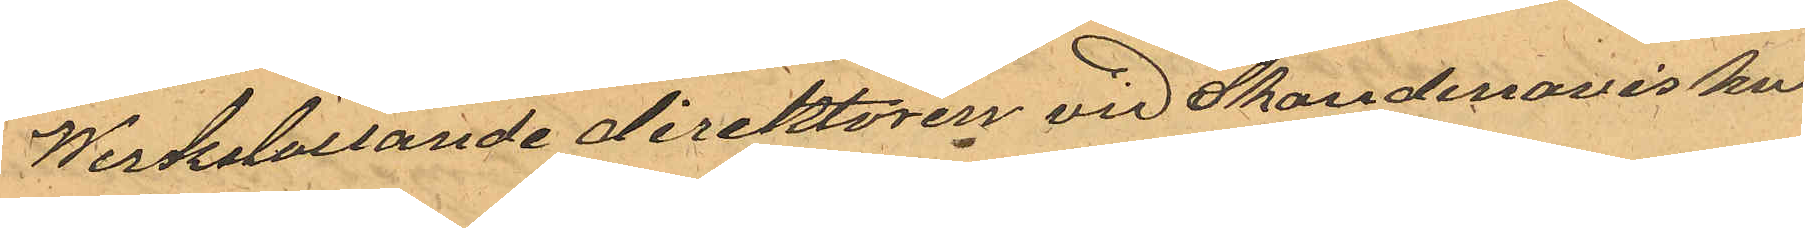Werkstallande direktören vid Skandinaviska
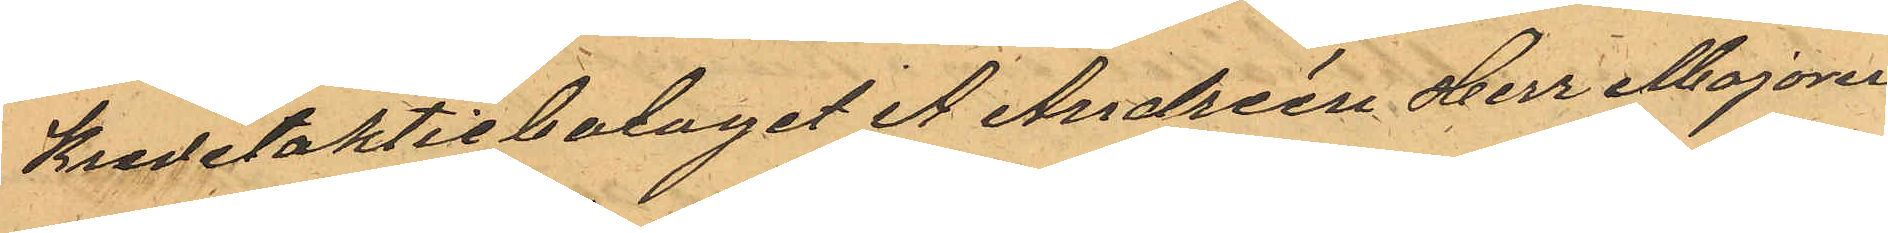Kreditaktiebolaget A Andréen Herr Majoren
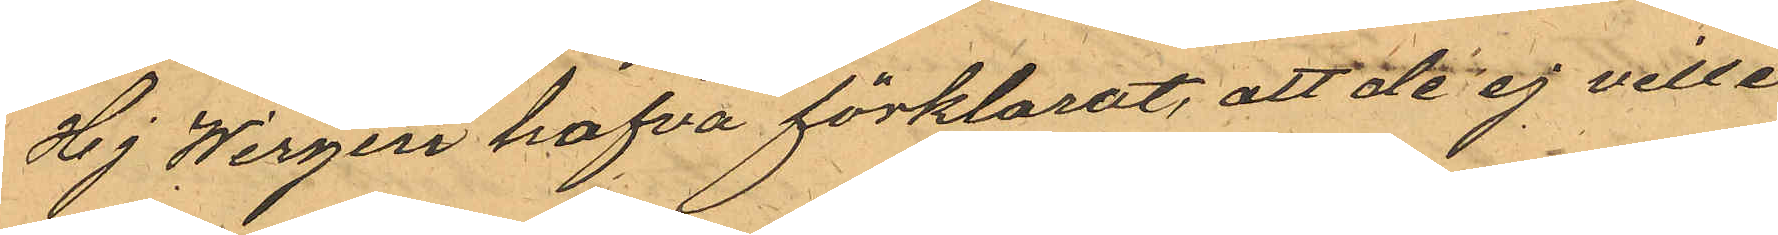Hj Wirgin hafva förklarat, att de ej ville
